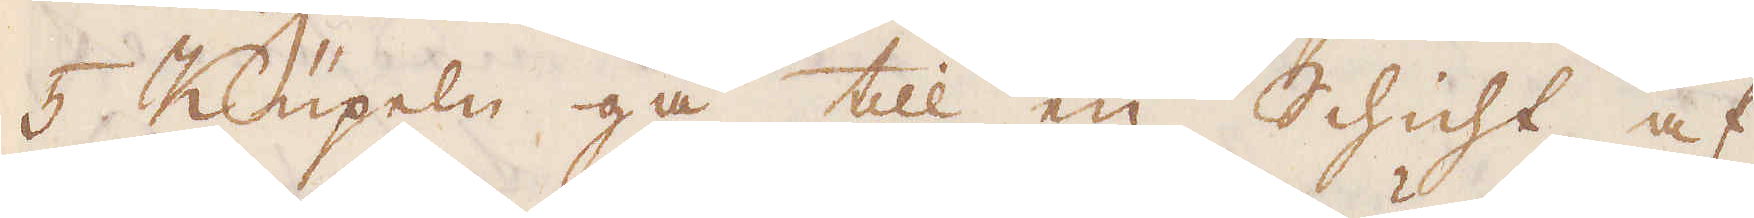5 Küpeln gå till en Schicht af
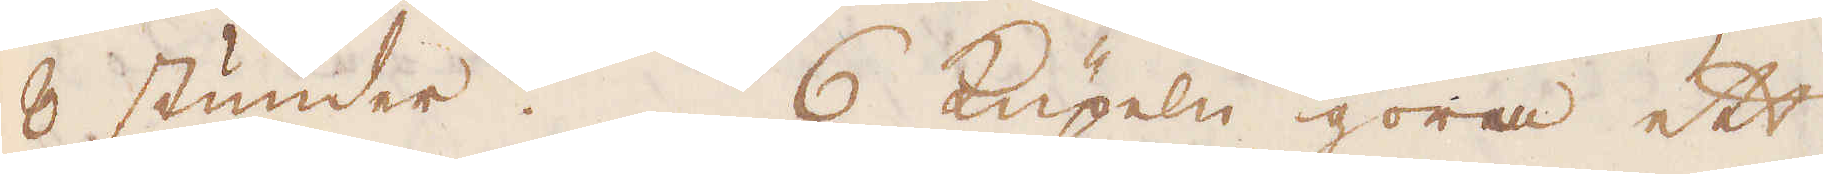8 stunder. 6 Küpeln göra ett
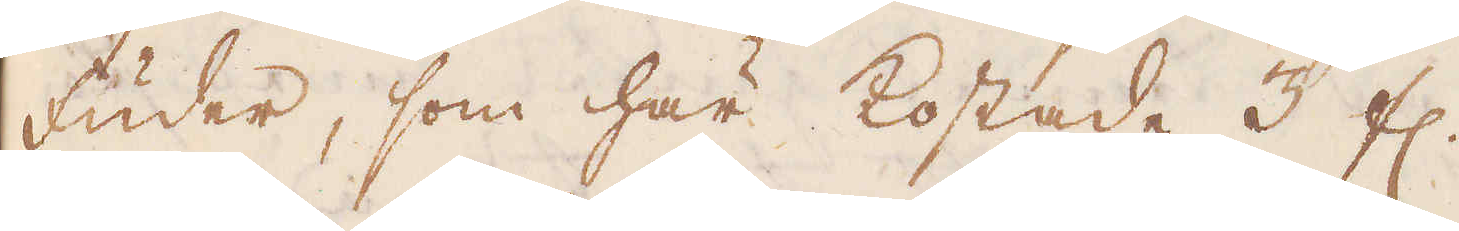Fuder, som här kostade 3 fl.
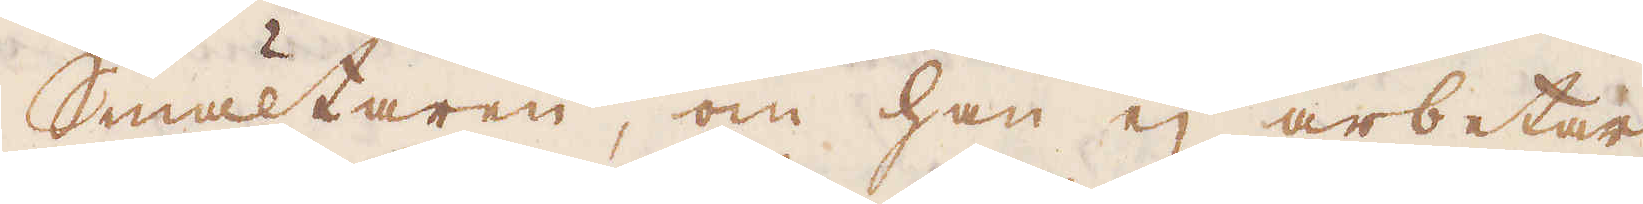Smältaren, om han ej arbetar
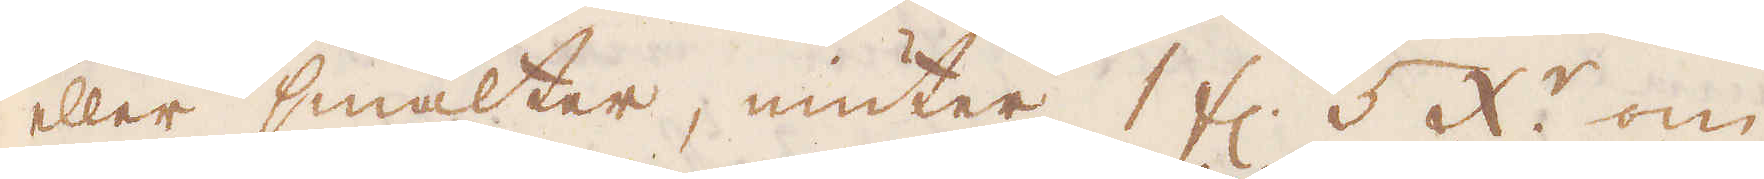eller smälter, niuter 1 fl. 5 x:r om
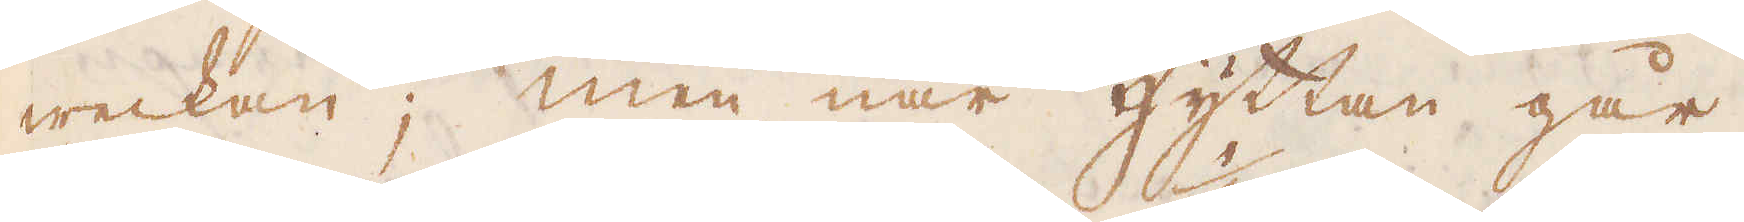weckan; men när hyttan går,
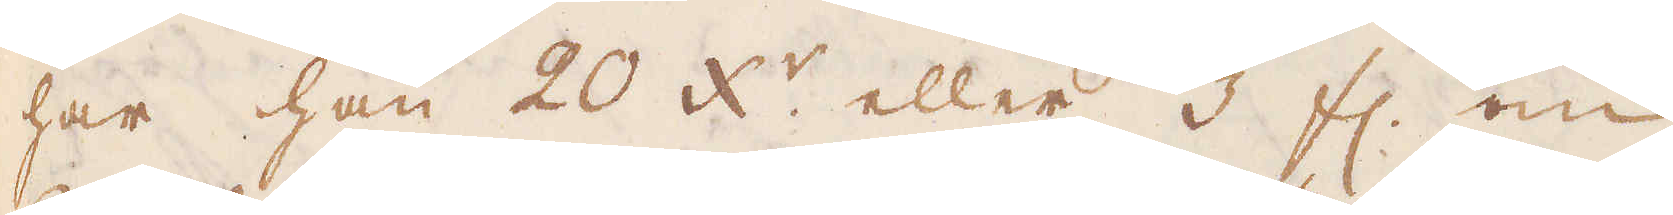har han 20 x:r eller 1/3 fl. om
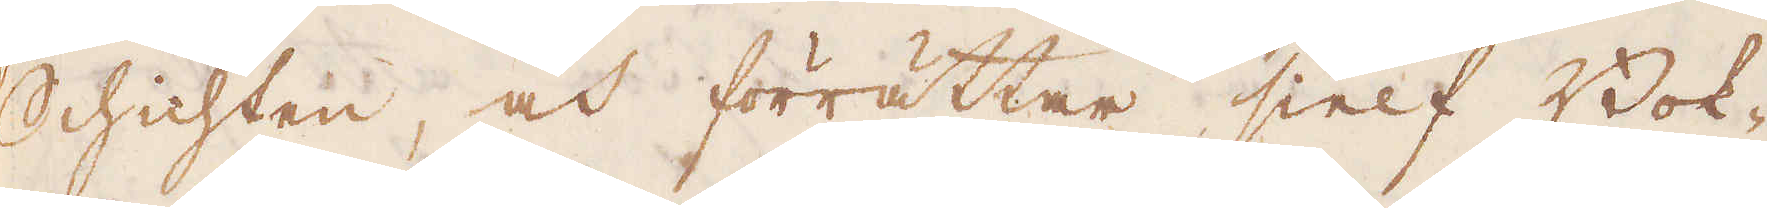Schichten, och förrättar sielf Bok-
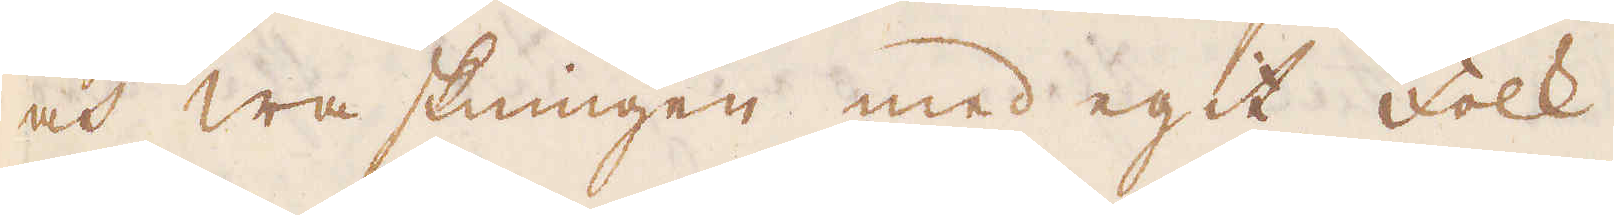och waskningen med egit folk.
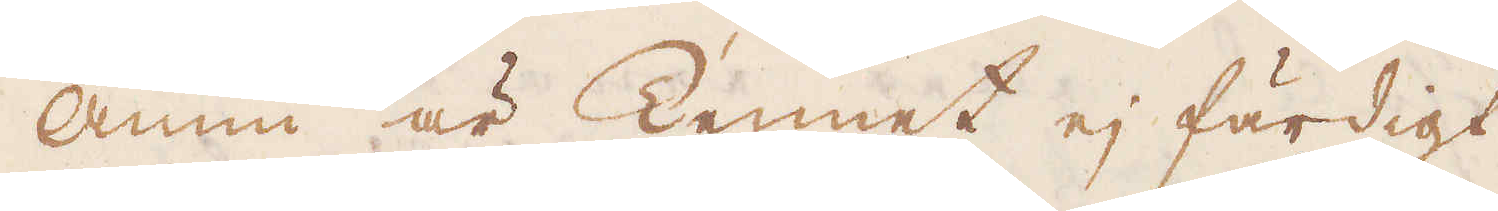Ännu är Tennet ej färdigt
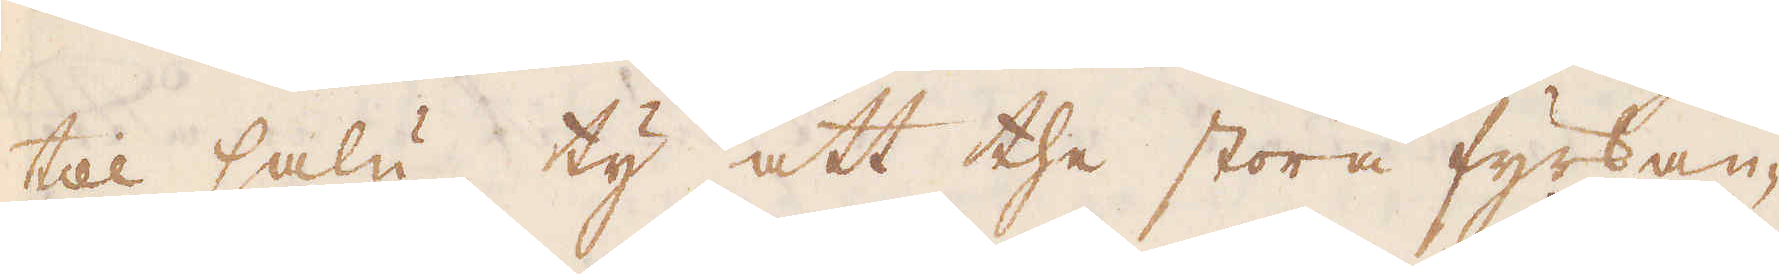till salu ty att the stora fyrkan-
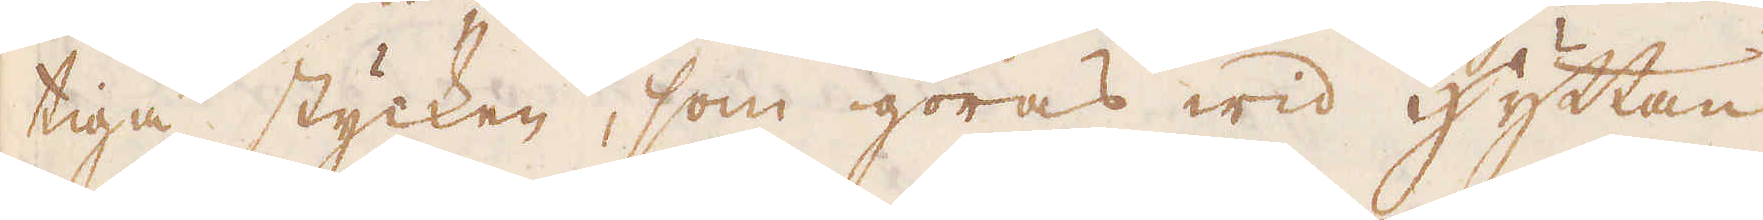tiga stycken, som göras wid Hyttan
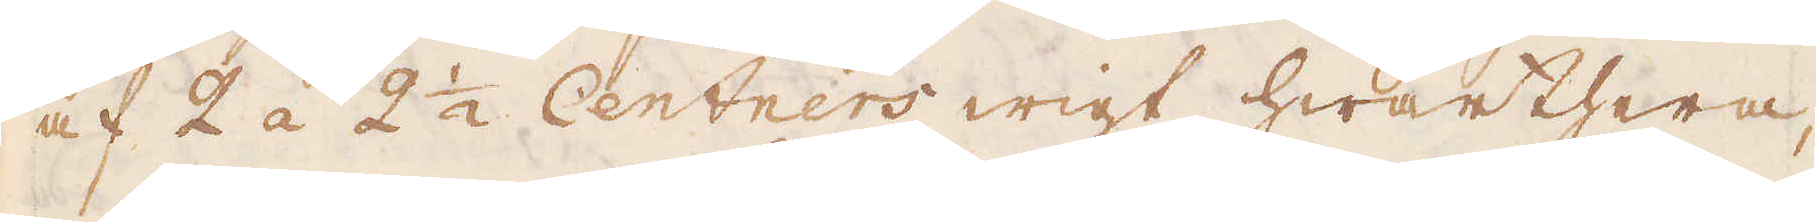af 2 á 2 1/2 Centners wigt hwarthera,
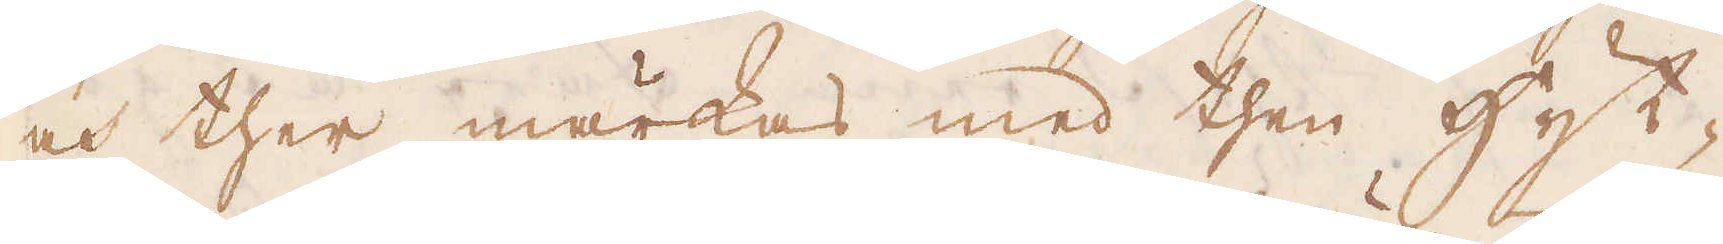och ther märkas med then Hyt-
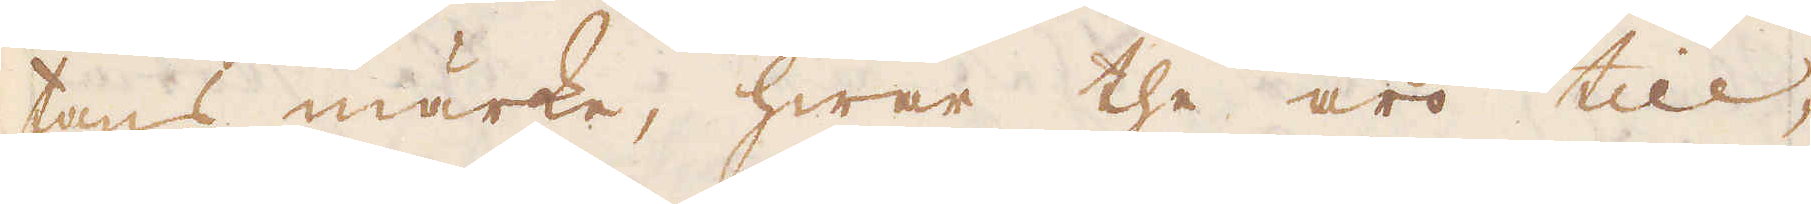tans märke, hwar the äro till-
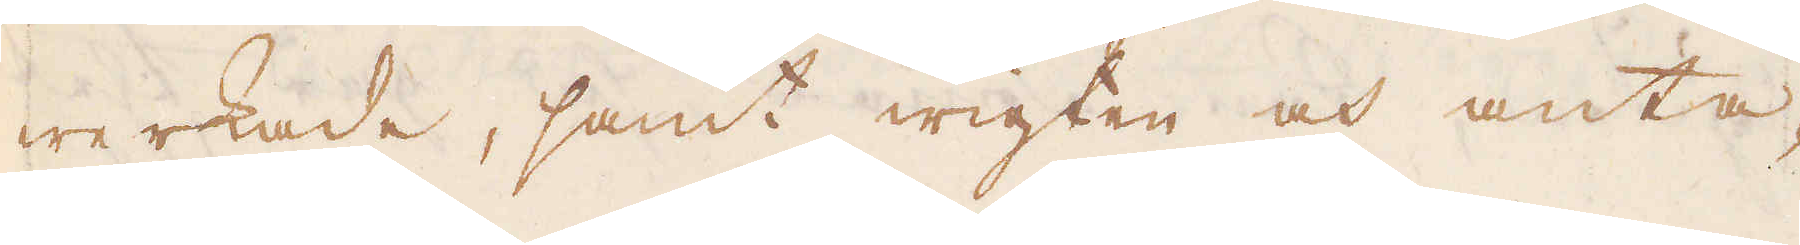werkade, samt wigten och anta-
